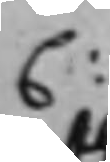C:
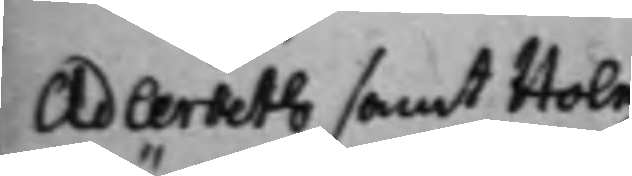Adlerbeth samt Holm¬
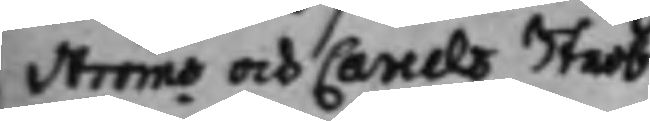ströms och Careels Sterb¬
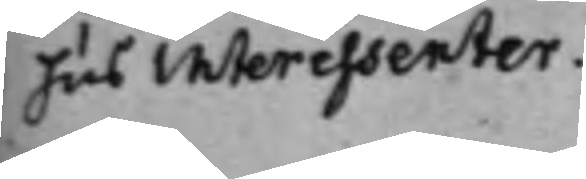hus Interessenter.
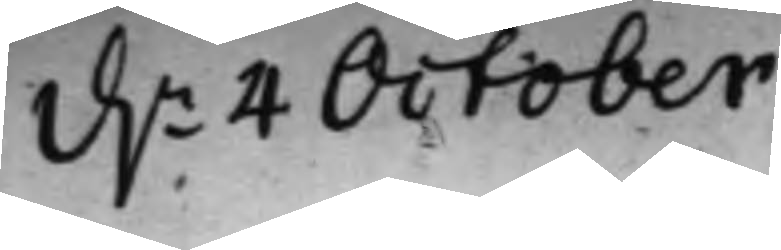d.n 4 October
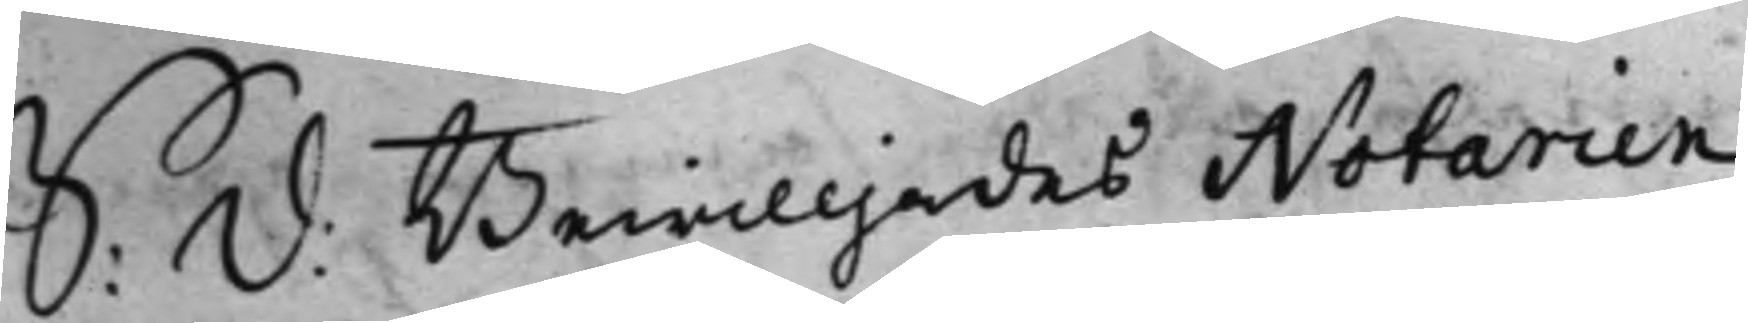S: d: Bewilljades Notarien
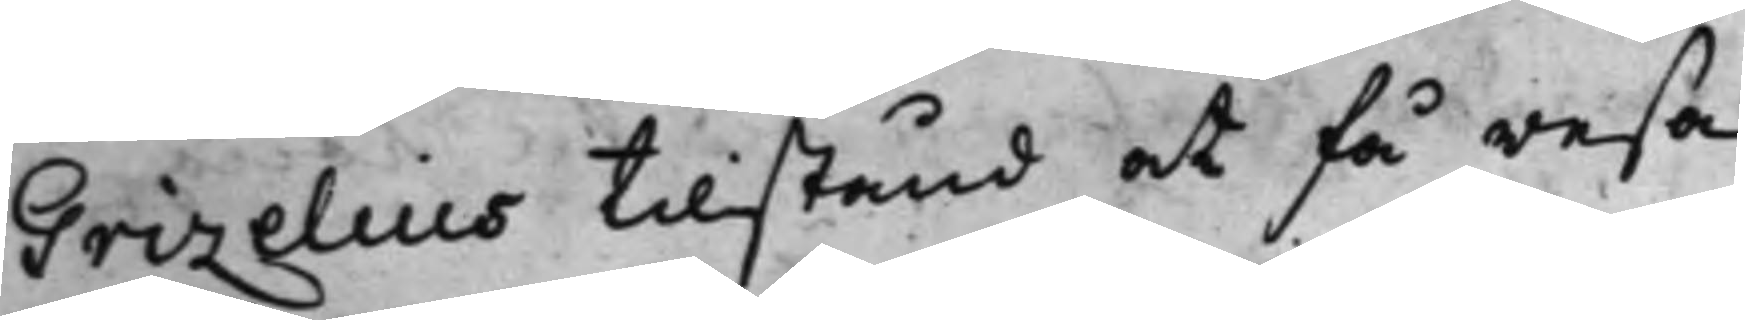Grizelius tillstånd at få resa
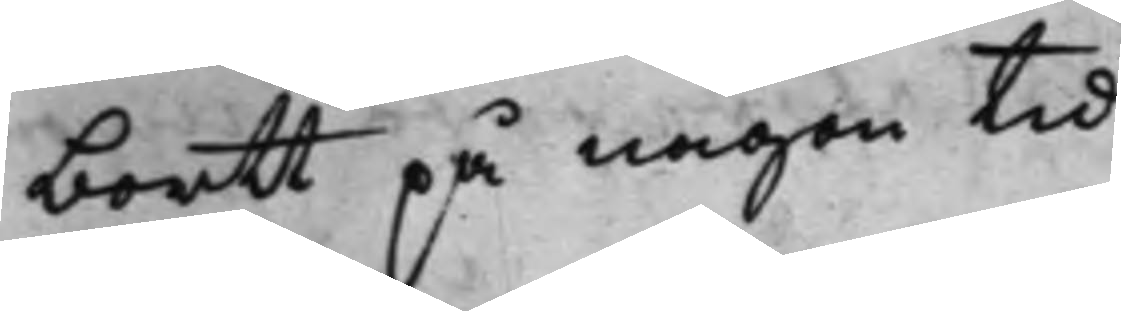bortt på någon tid.
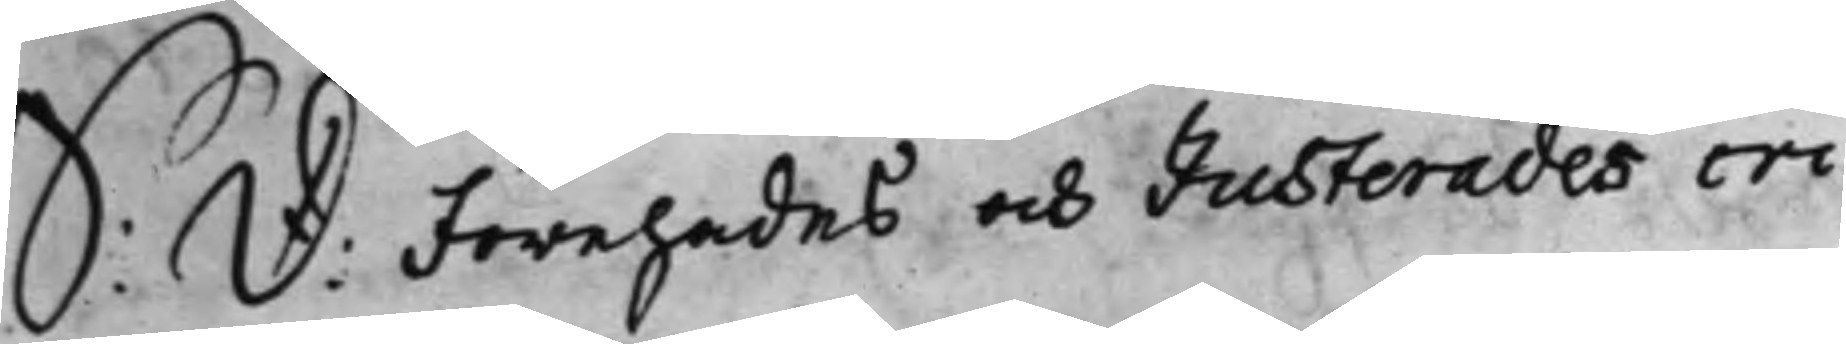S: d: Förehades och Justerades cri¬
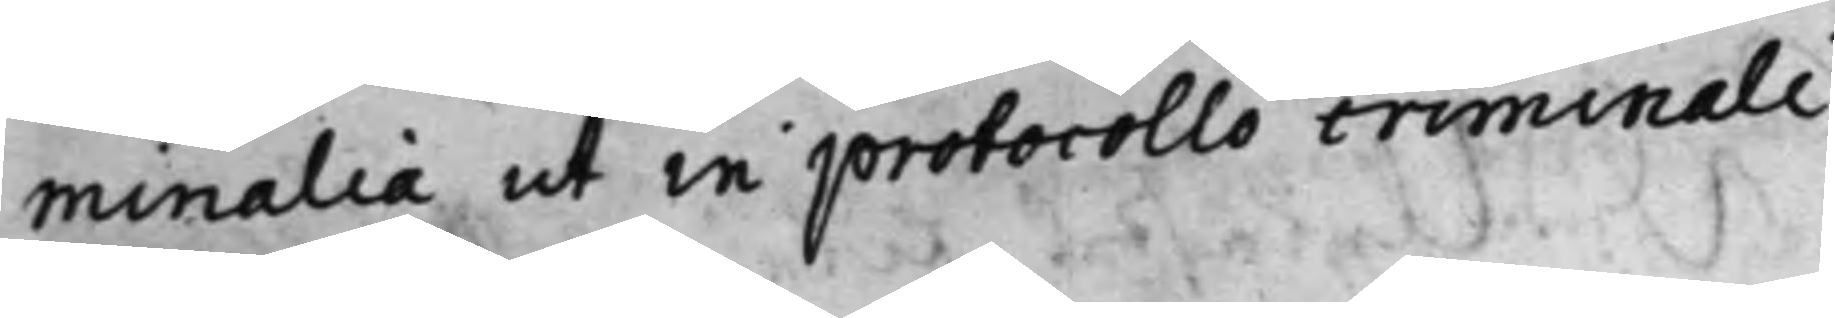minalia ut in protocollo criminali
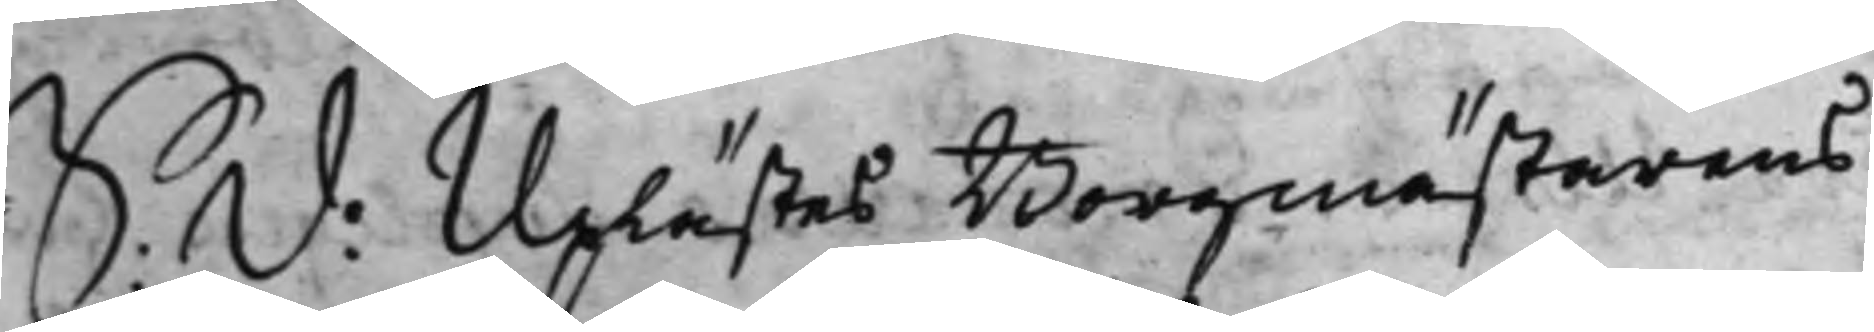S: d: Uplästes Borgmästarens
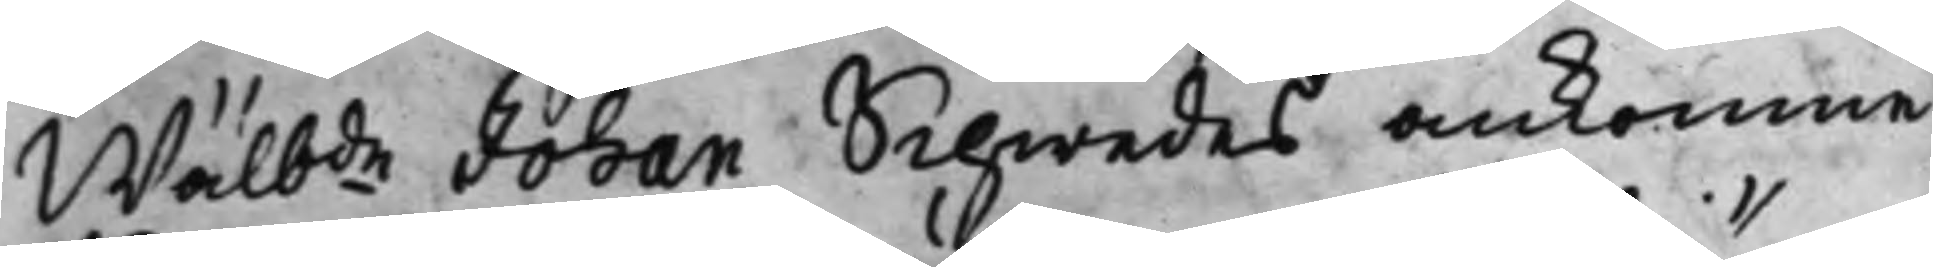Wälbde Johan Schwedes ankomne
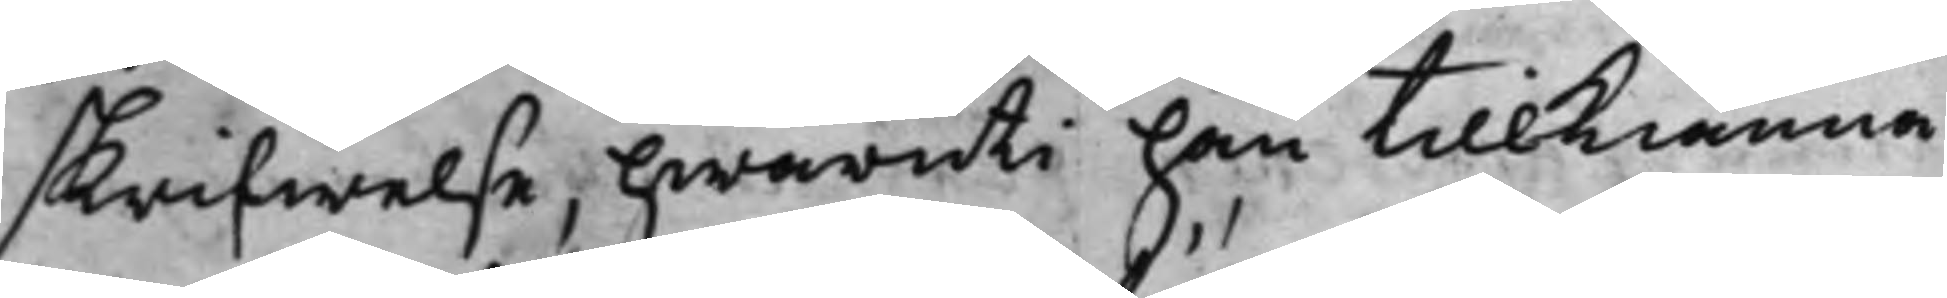skrifwelse, hwaruti han tillkiänna
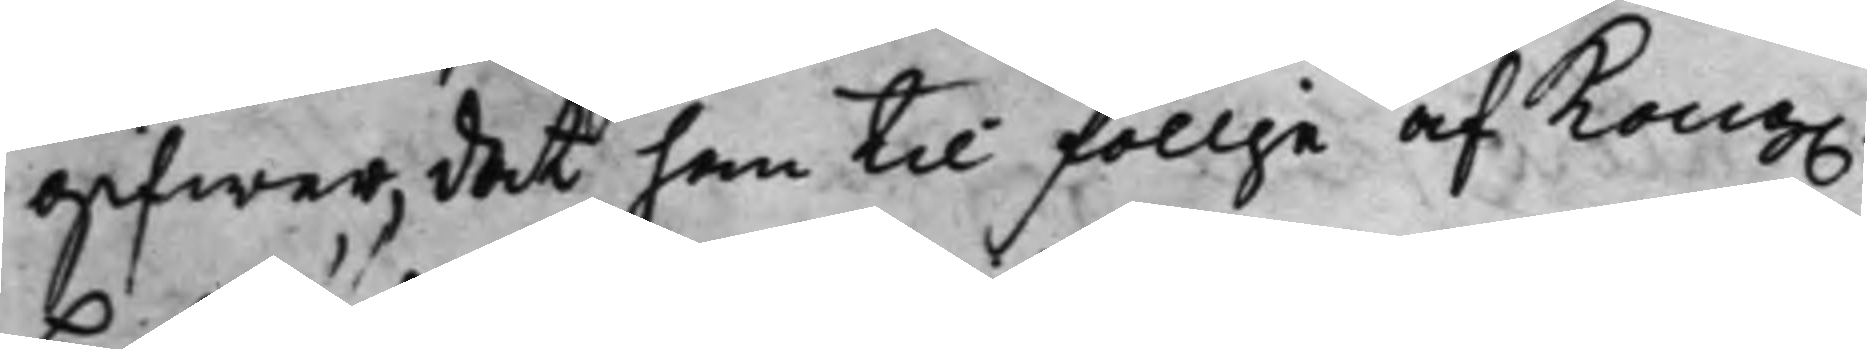gifwer, det han til föllje af Kong.
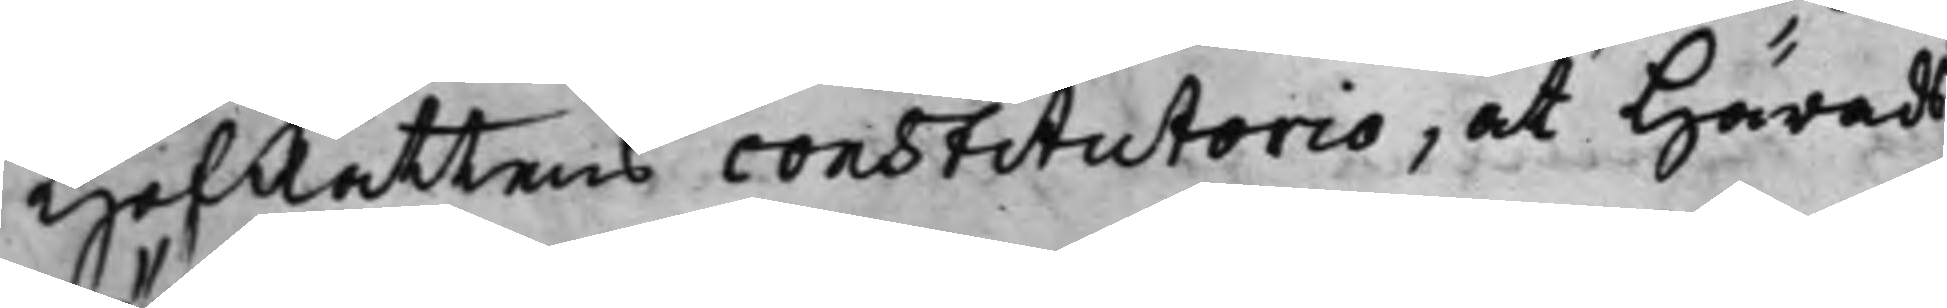HofRättens constitutorio, at Härads¬
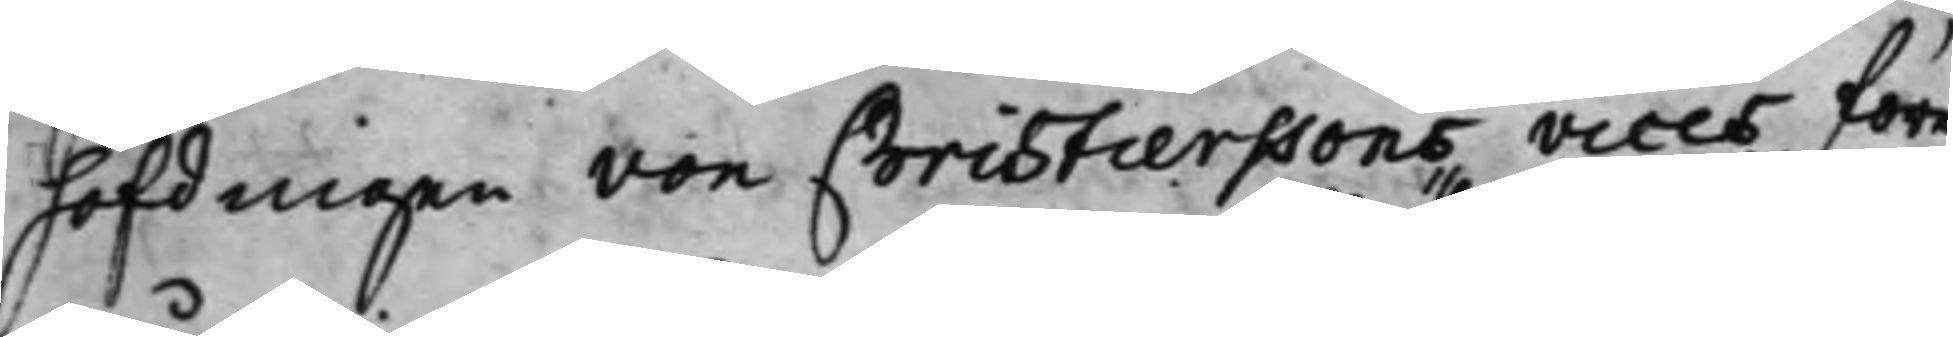höfdingen von Christierssons vices före¬
